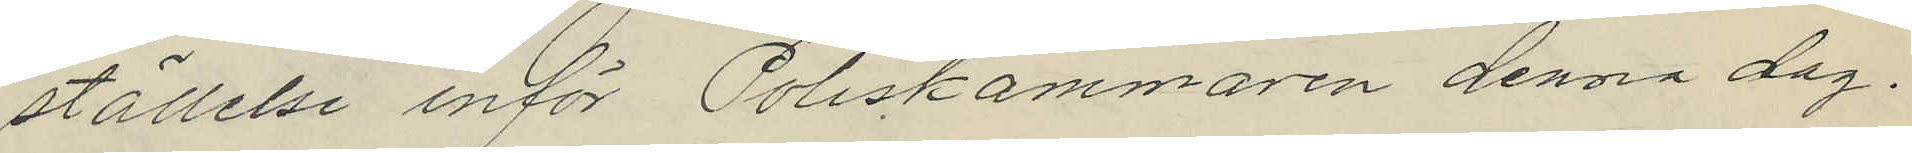ställelse inför Poliskammaren denna dag.
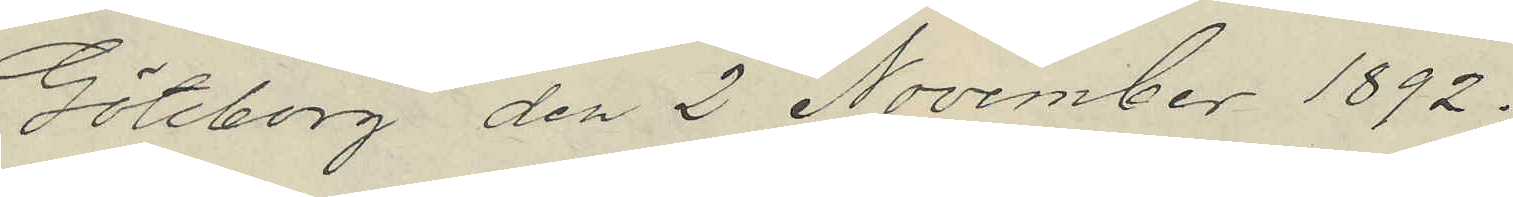Göteborg den 2 November 1892.
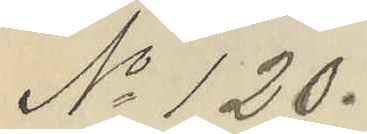No 120.
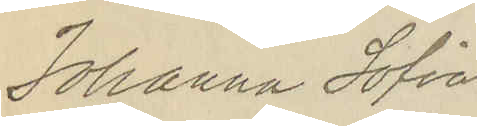Johanna Sofia
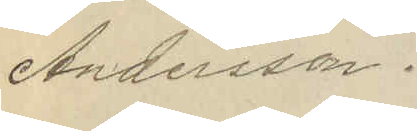Andersson.
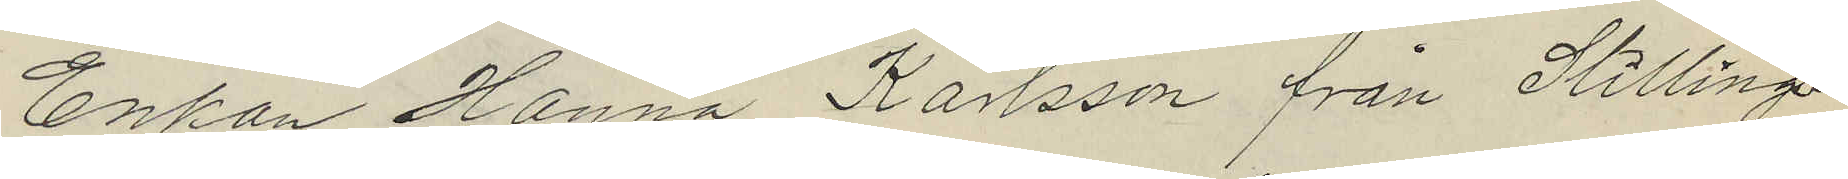Enkan Hanna Karlsson från Stillings¬
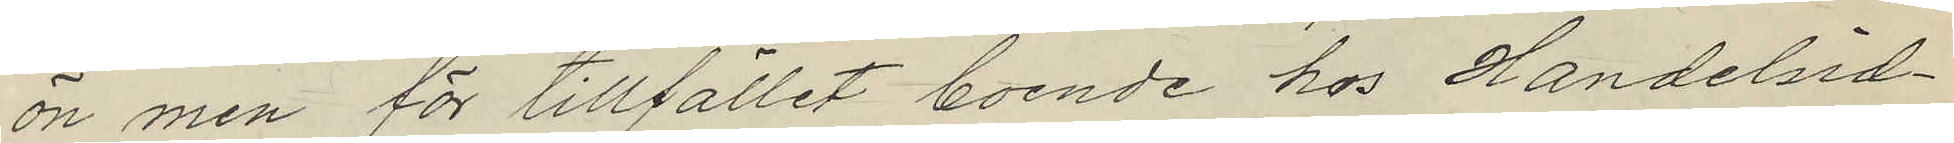ön men för tillfället boende hos Handelsid¬
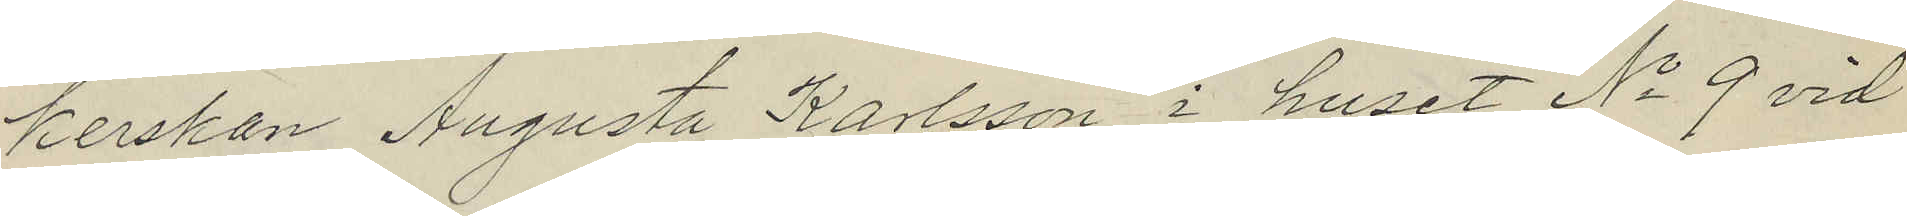kerskan Augusta Karlsson i huset No 9 vid
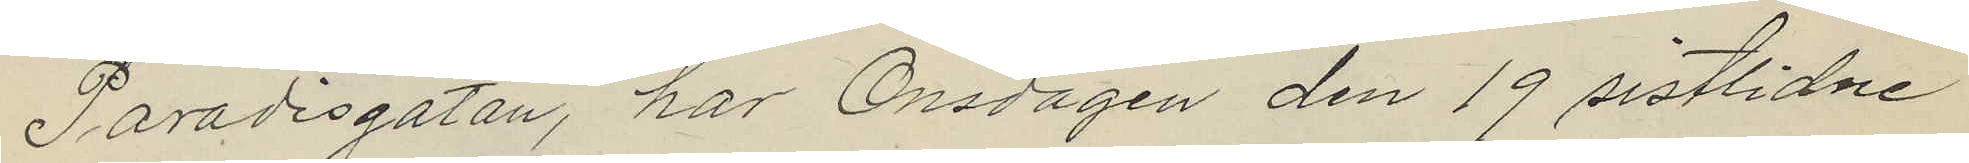Paradisgatan, har Onsdagen den 19 sistlidne
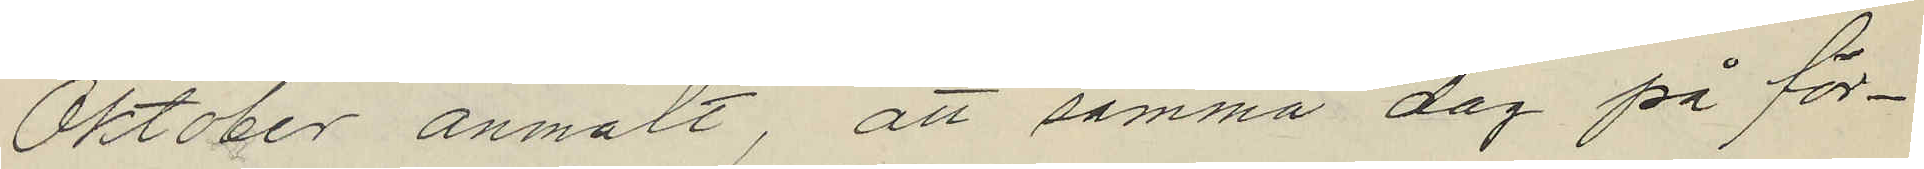Oktober anmält, att samma dag på för¬
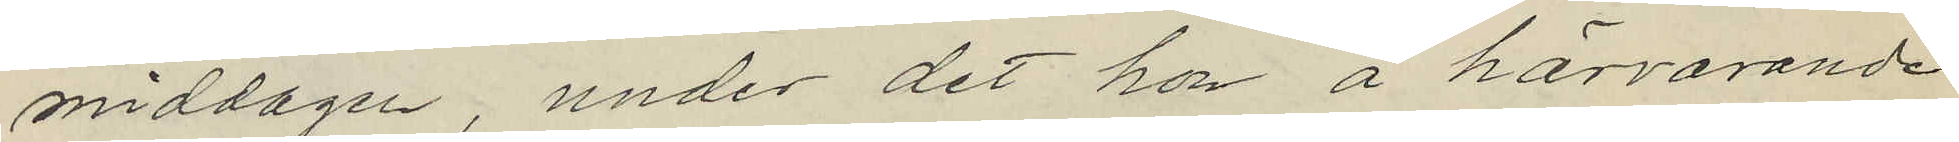middagen, under det hon å härvarande
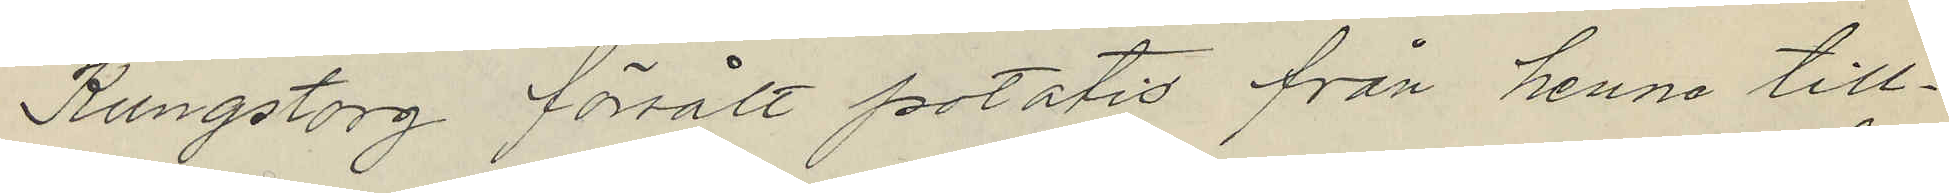Kungstorg försålt potatis från henne till¬
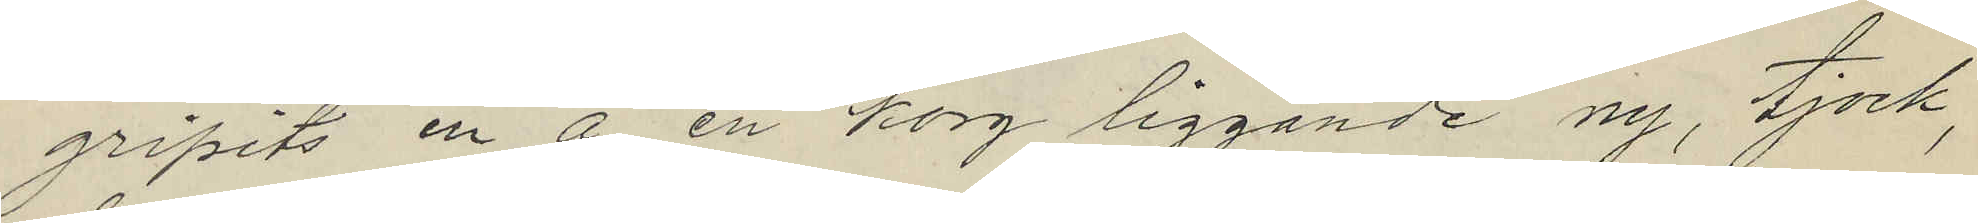gripits en å en korg liggande ny, tjock,
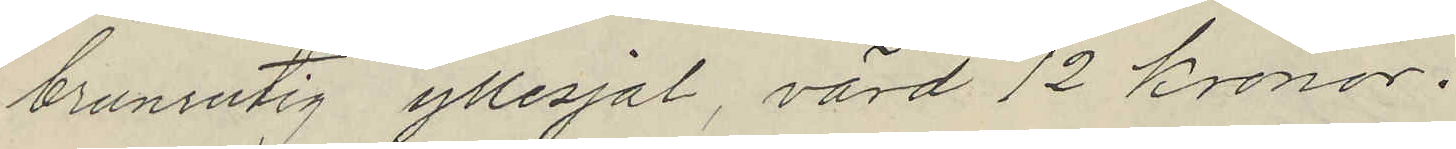brunrutig yllesjal, värd 12 kronor.
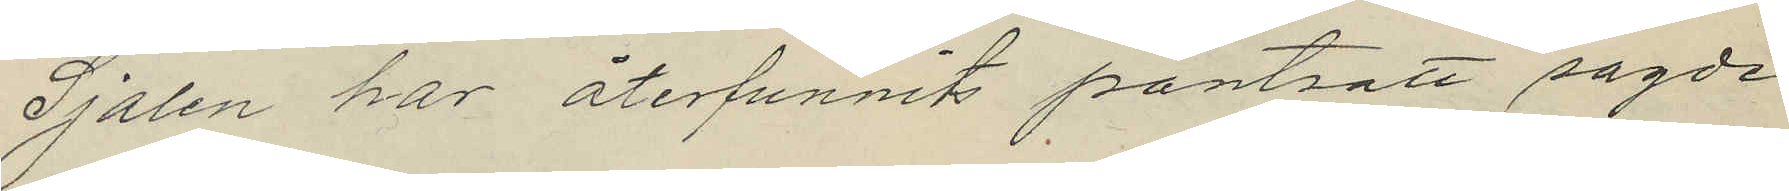Sjalen har återfunnits pantsatt sagde
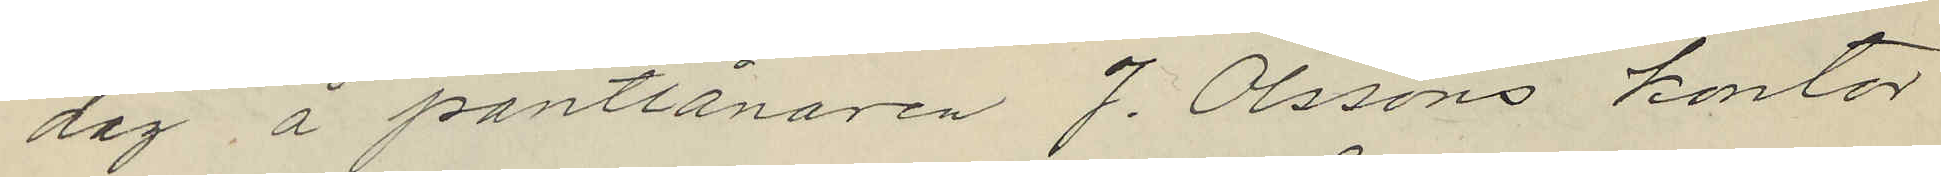dag å pantlånaren J. Olssons kontor
